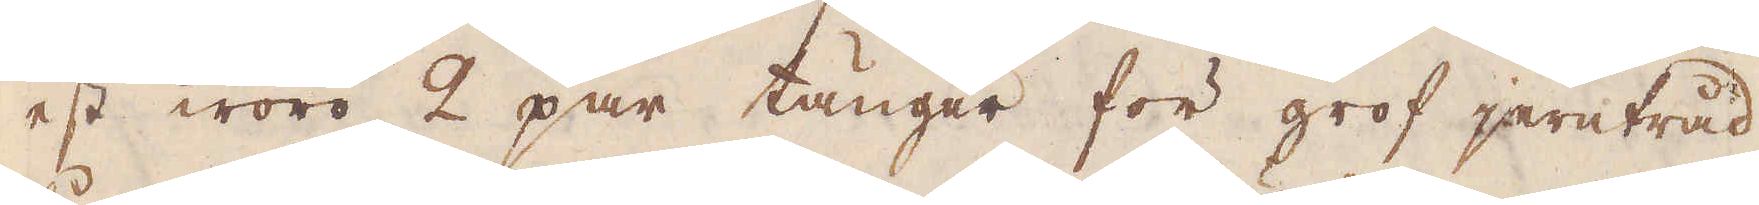est woro 2 par tänger för grof jerntråd,
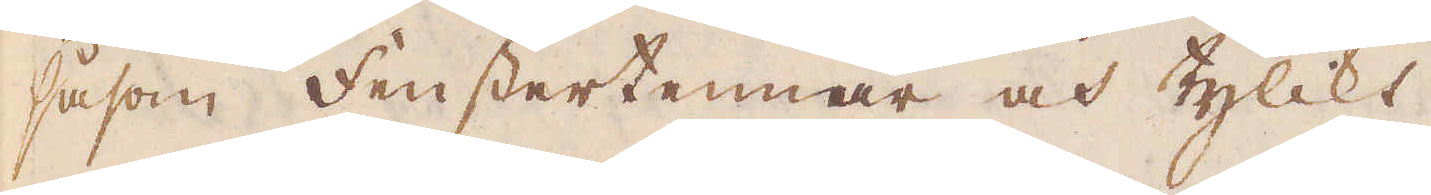såsom Fenstertennar och tylikt.
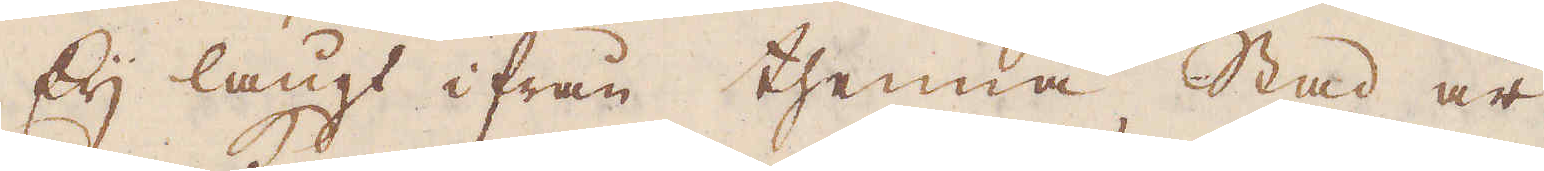Eij långt ifrån thenna stad är
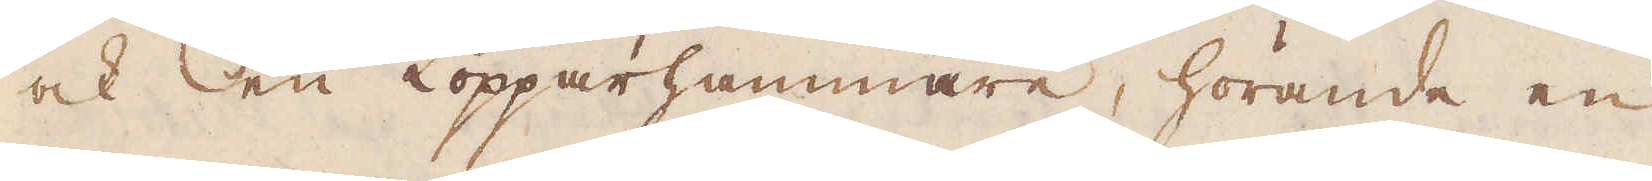ock en Kopparhammare, hörande en
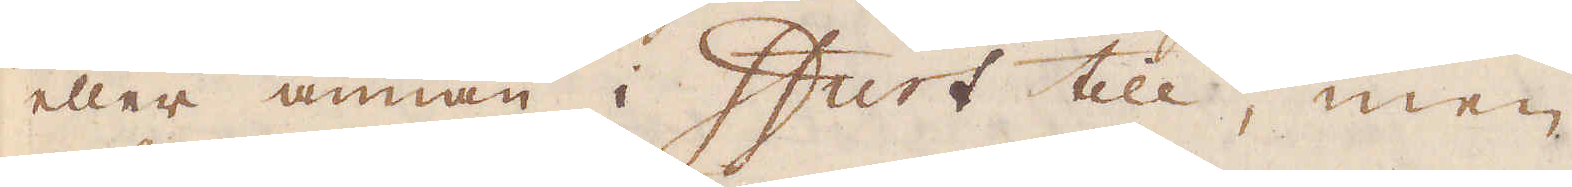eller annan i Ifurt till, men
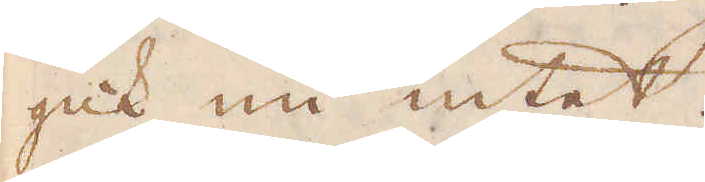gick nu intet.
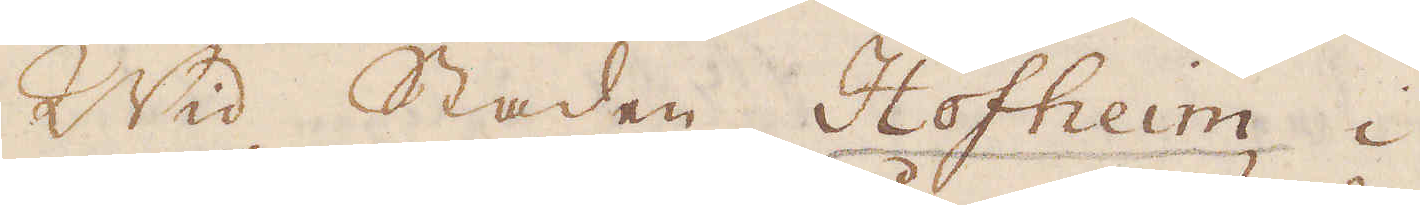Wid Staden Hofheim i
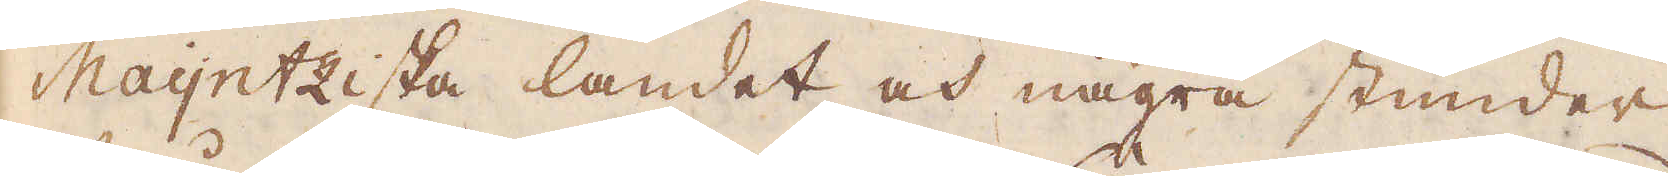Maijntziska landet och några stunder
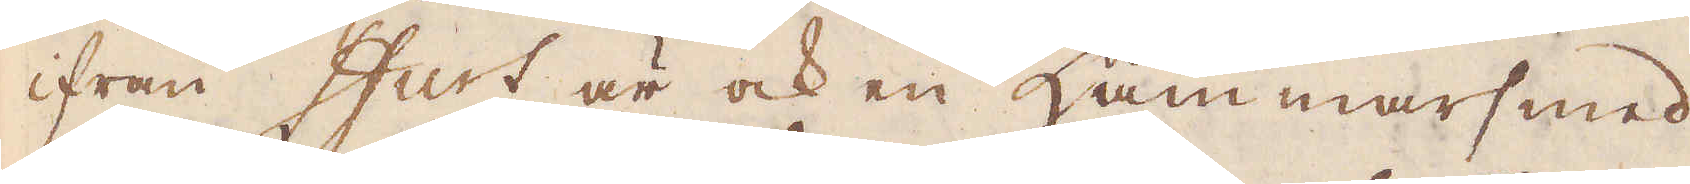ifrån Ifurt är ock en Hammarsmed-
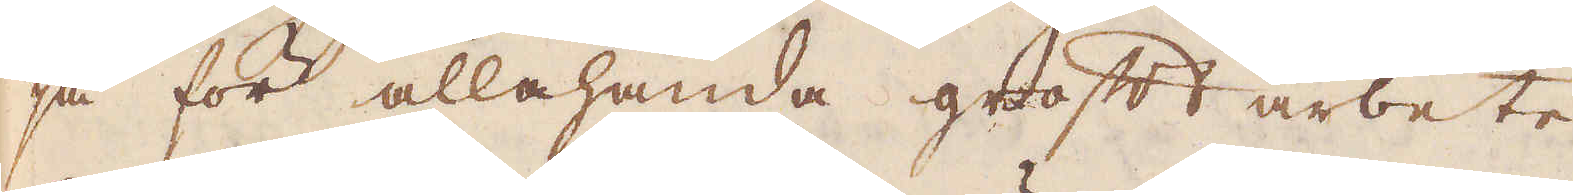ja för allahanda groft arbete;
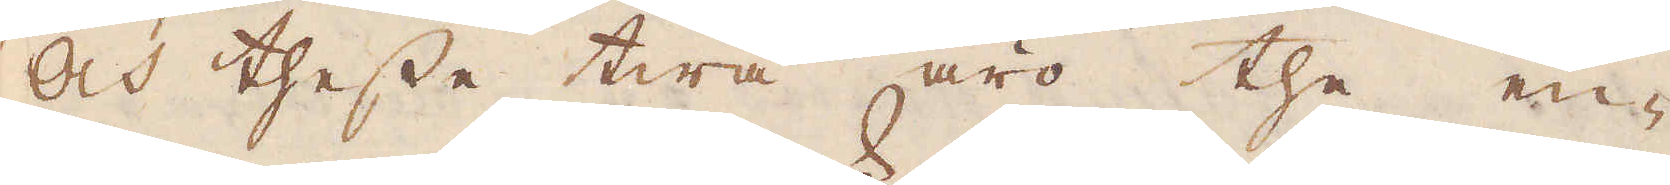Och thesse twå äro the en-
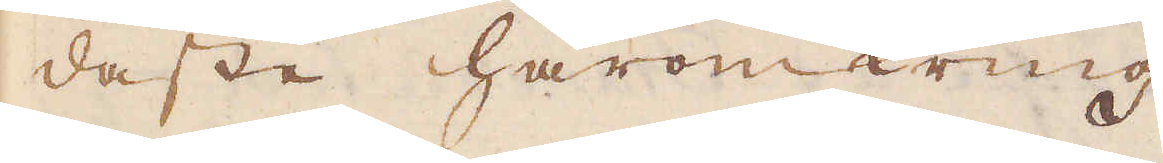daste häromkring.
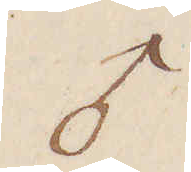♂
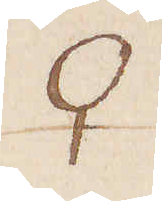♀
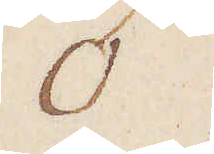♂
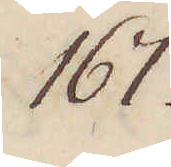167.
